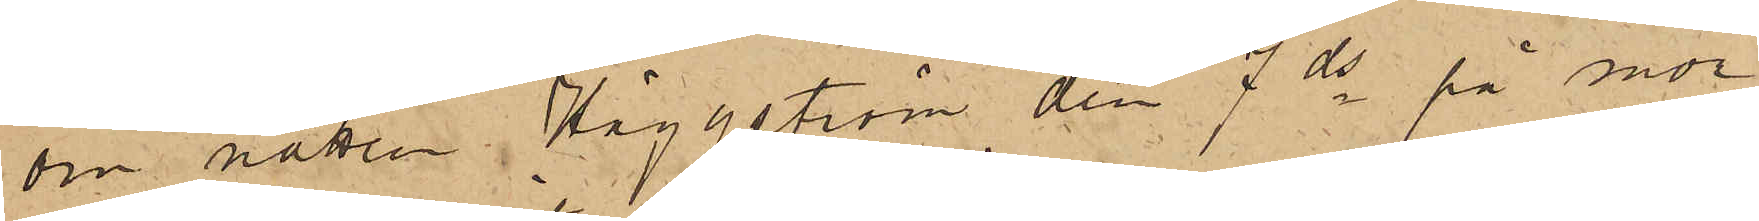om natten, Häggström den 7 ds på mor¬
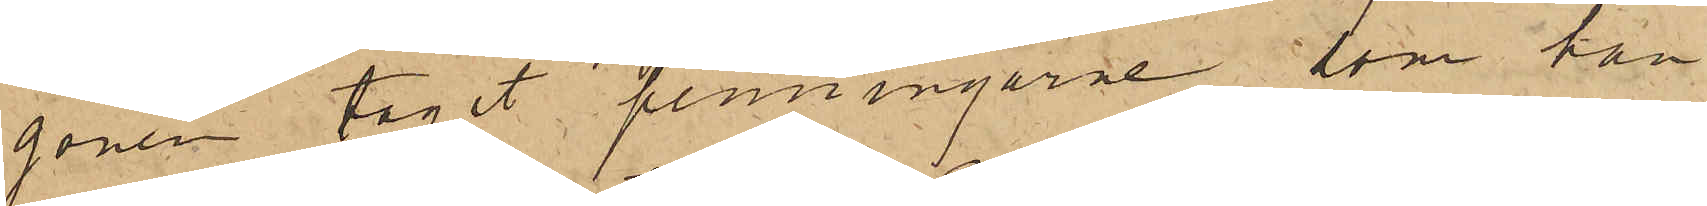gonen tagit penningarne, som han
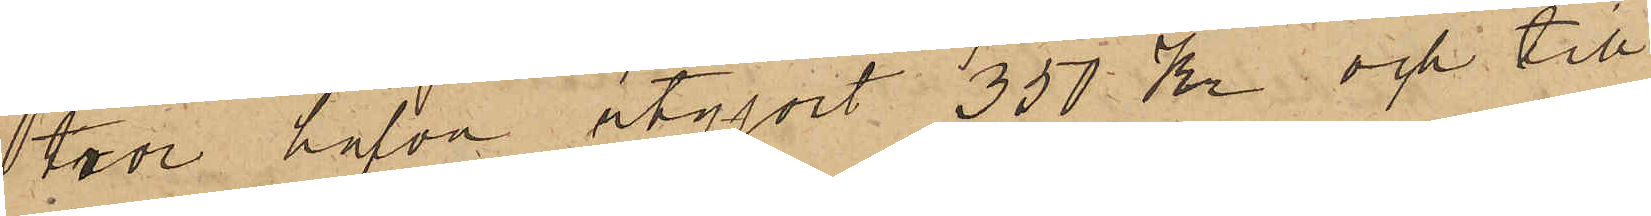tror hafva utgjort 350 Kr och till
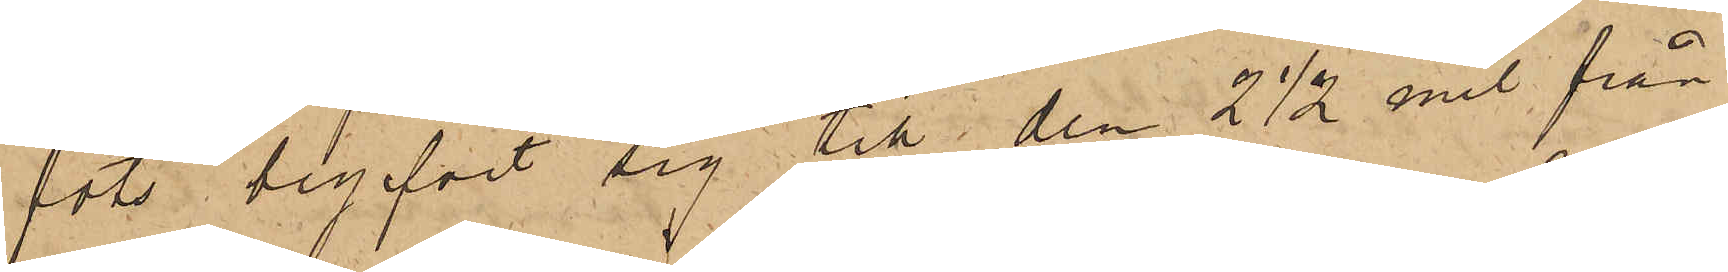fots begifvit sig till den 2 1/2 mil från
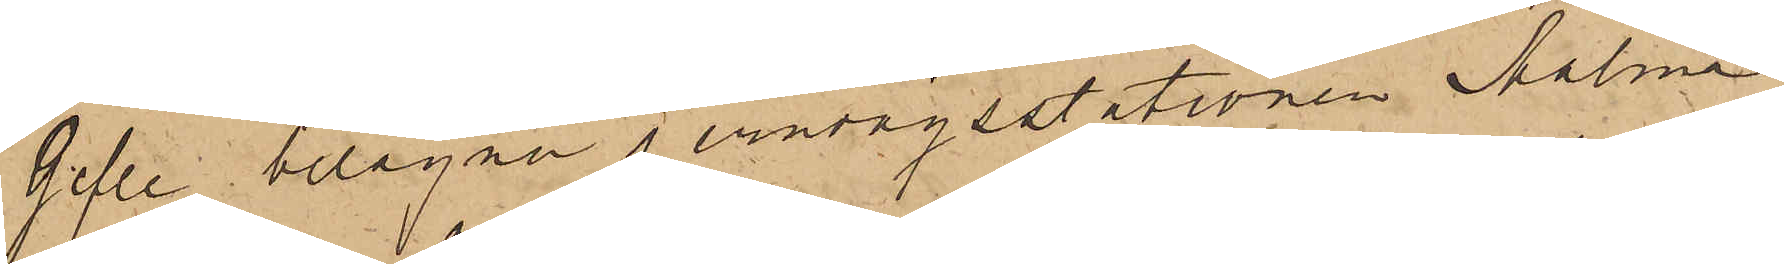Gefle belägna jernvägsstationen Malma
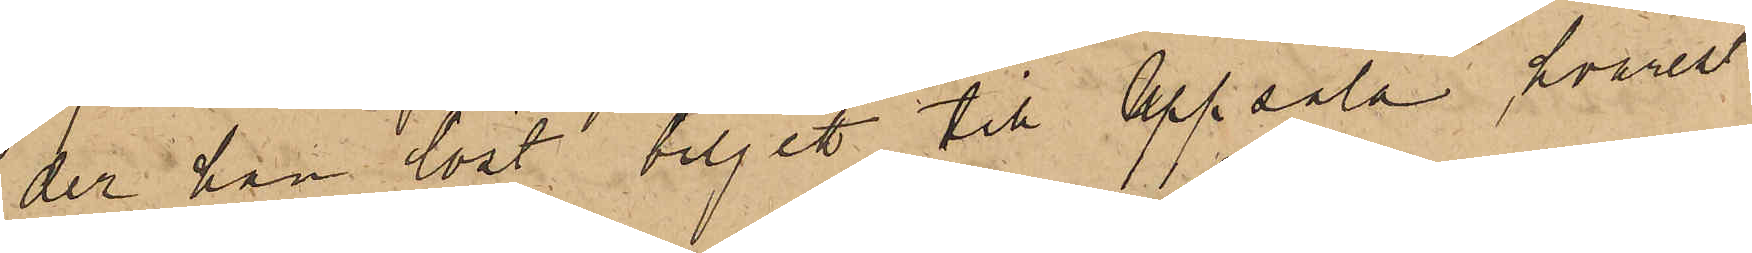der han löst biljett till Uppsala, hvarest
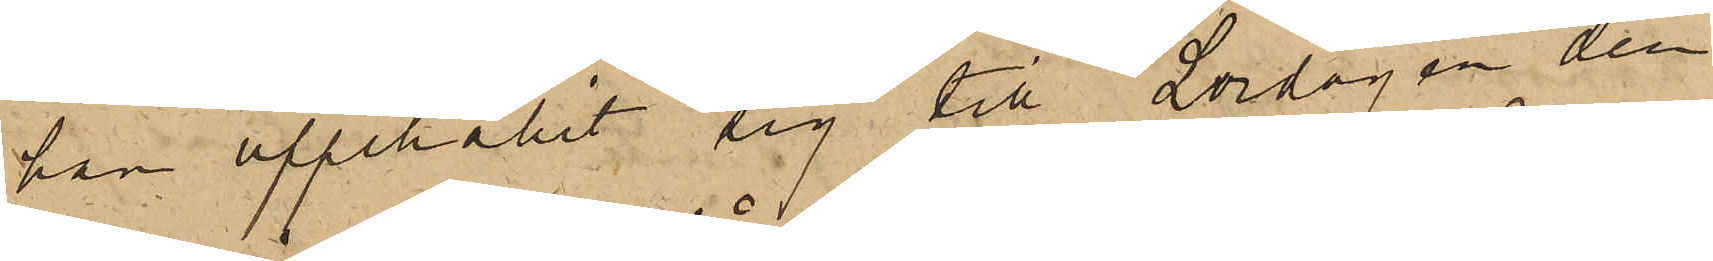han uppehållit sig till Lördagen den
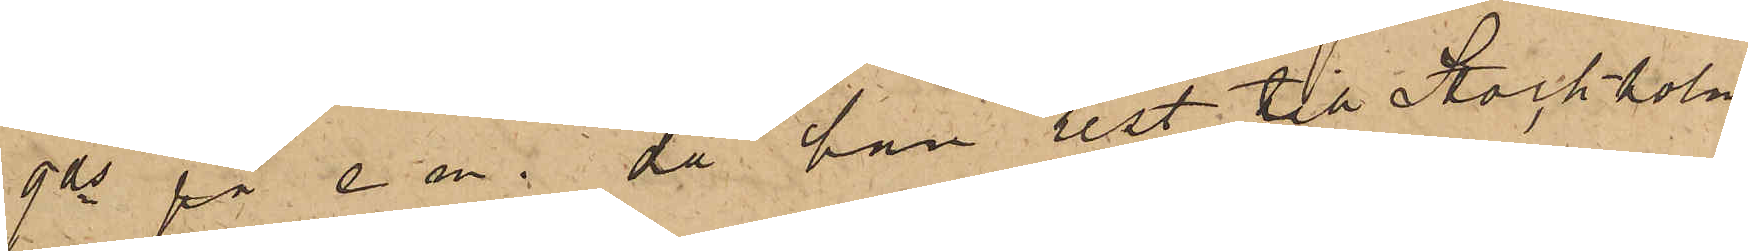9 ds på e m., då han rest till Stockholm
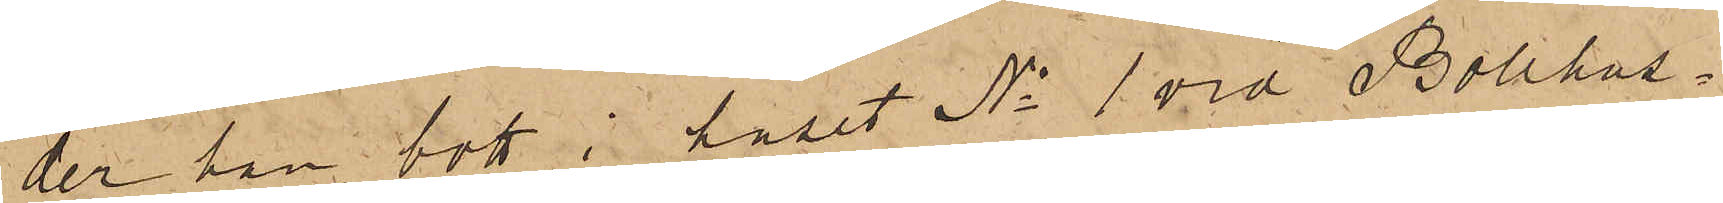der han bott i huset No 1 vid Bollhus¬
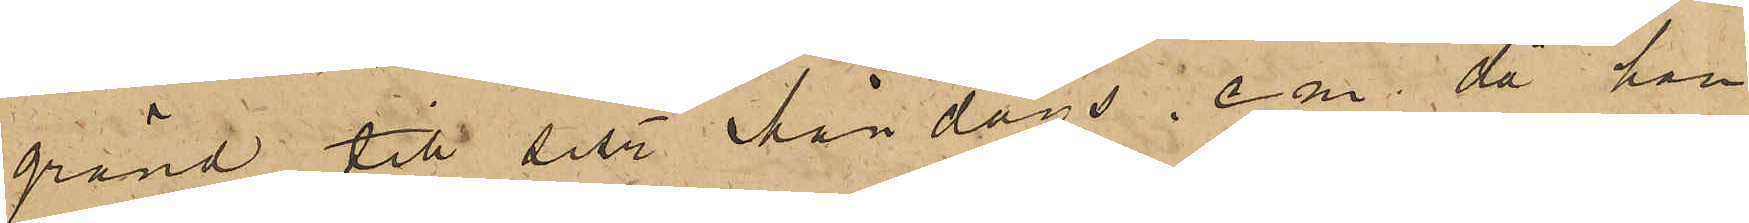gränd till sistl. Måndags. e m då han
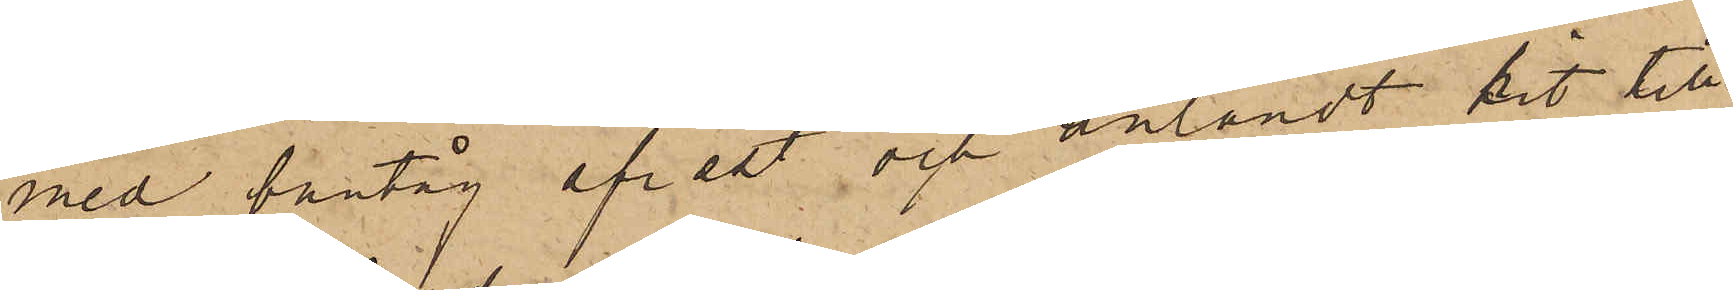med bantåg afrest och anländt hit till
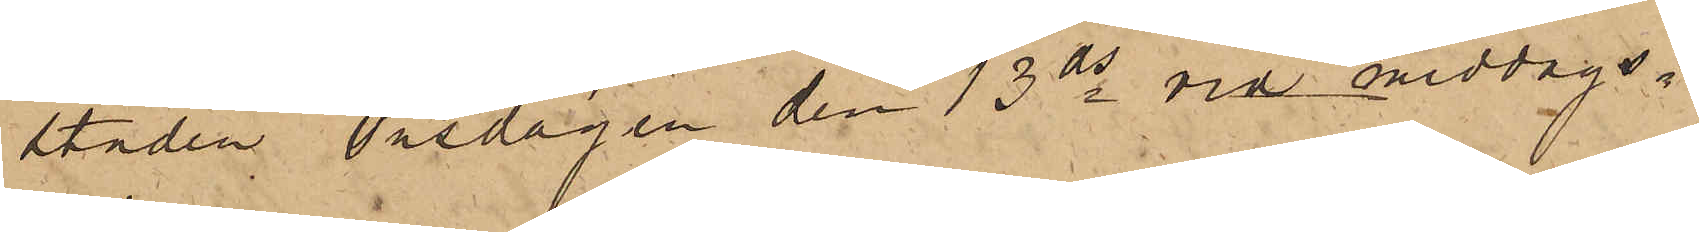staden Onsdagen den 13 ds vid middags¬
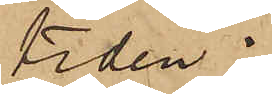tiden;
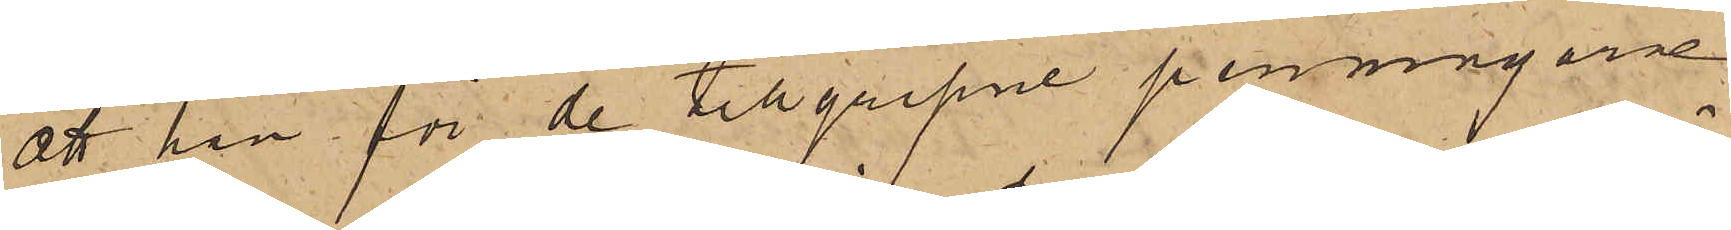att han för de tillgripne penningarne
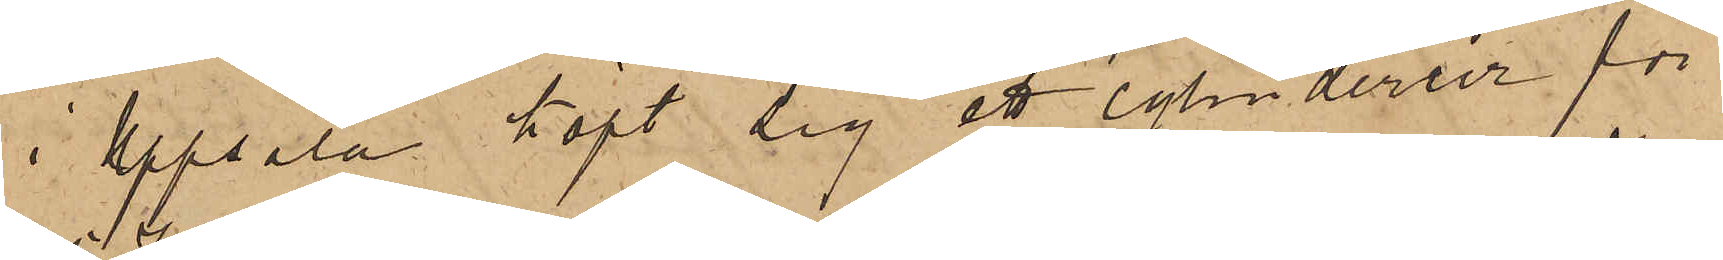i Uppsala köpt sig ett cylinderur för
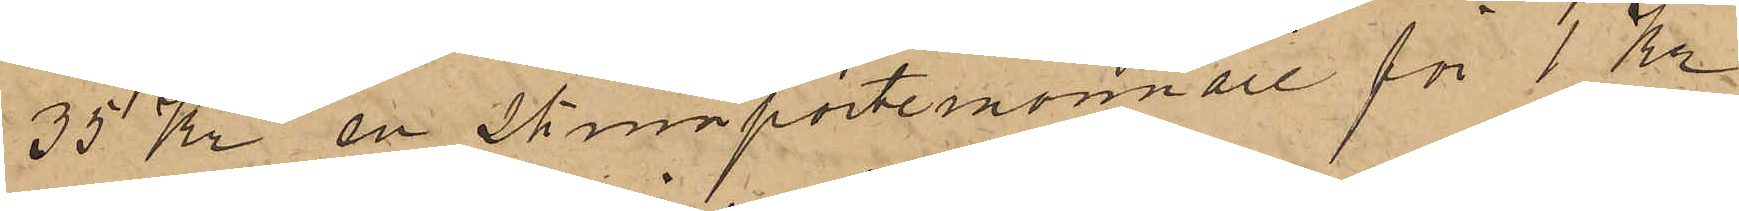35 Kr en skinnportemonnaie för 1 Kr
